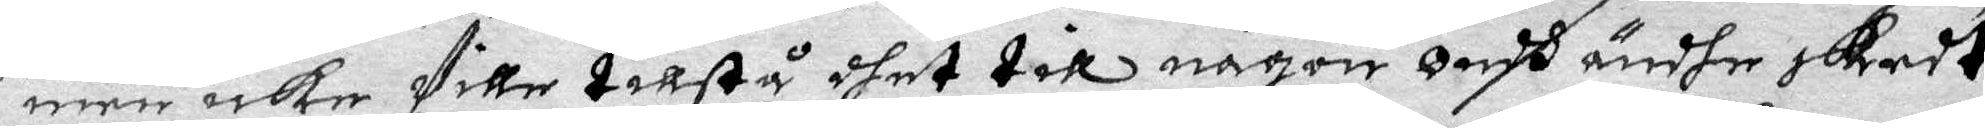men icke Ville tillstå dhet till någon ondh ändhe skedt
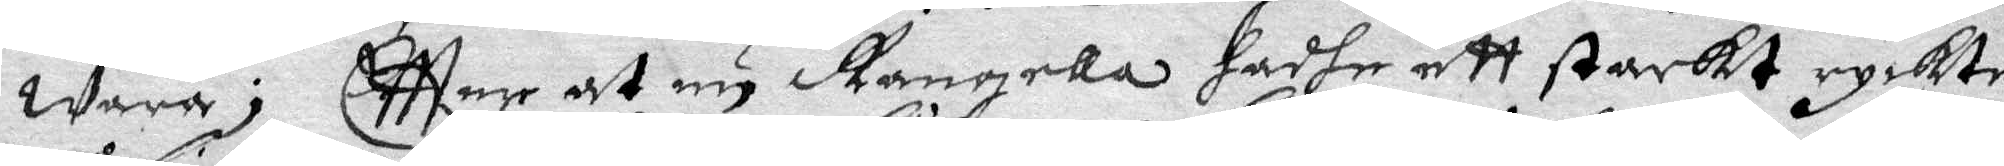Wara; Eftter at nu Rangella hadhe ett starkt ryckte
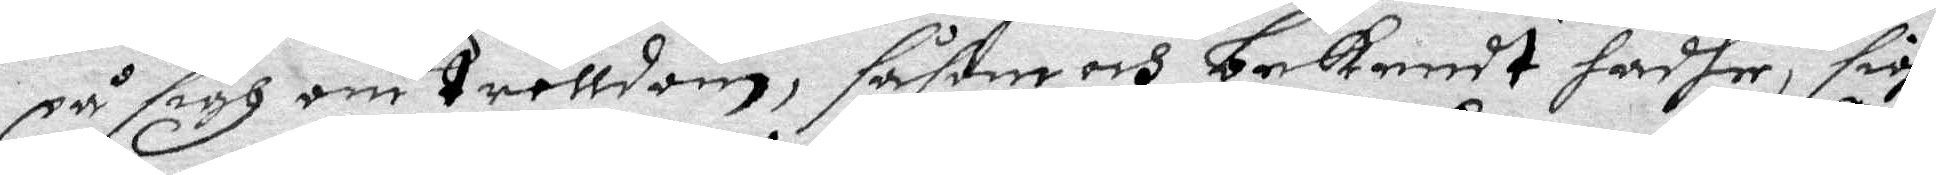på sigh om trolldom, såsom och bekendt hadhe, sigh
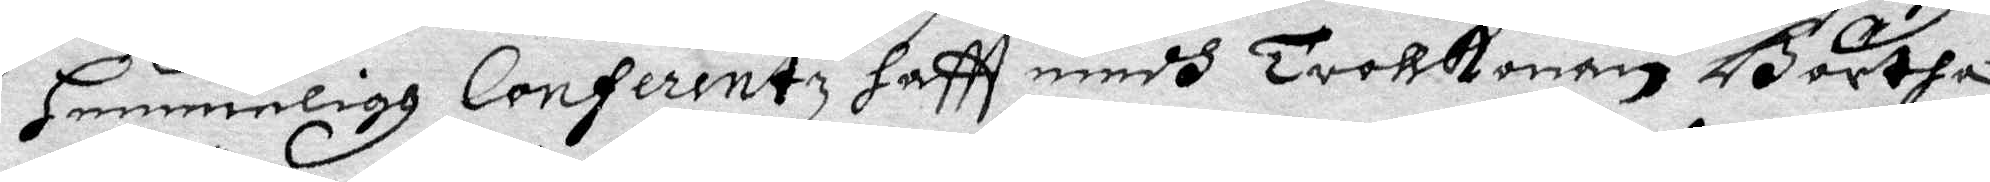Hemmeligh Conferentz haftt medh Trollkonan Börtha
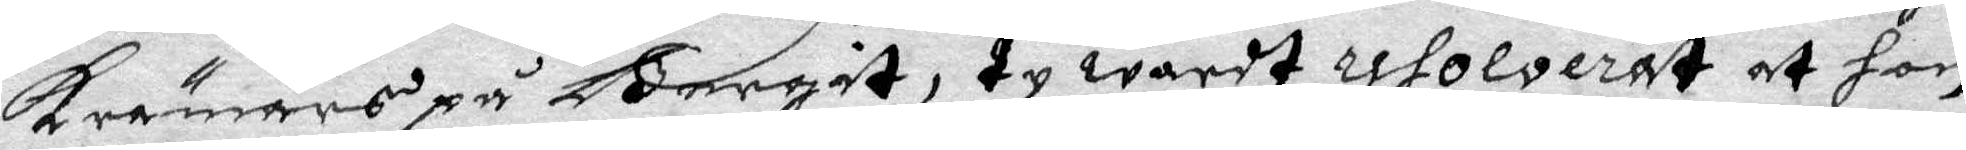Krämars på Bergit, ty wardt resolverat at hon
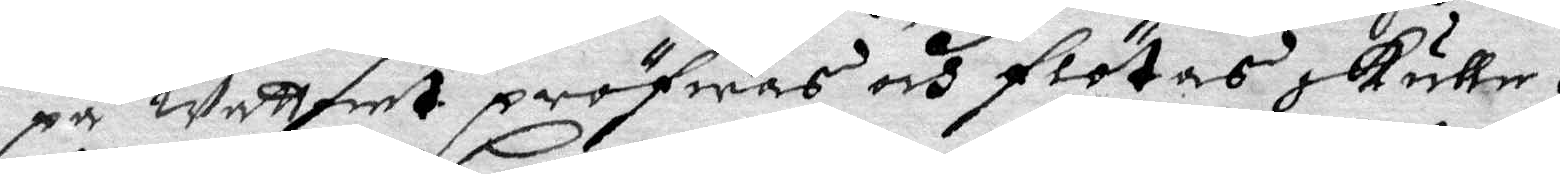på wattnet pröfwas och flötas skulle.
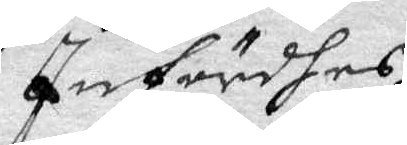Infördhes
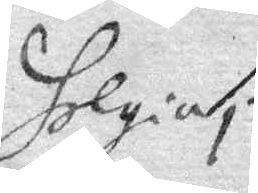Helgin i
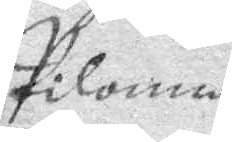Piloma 
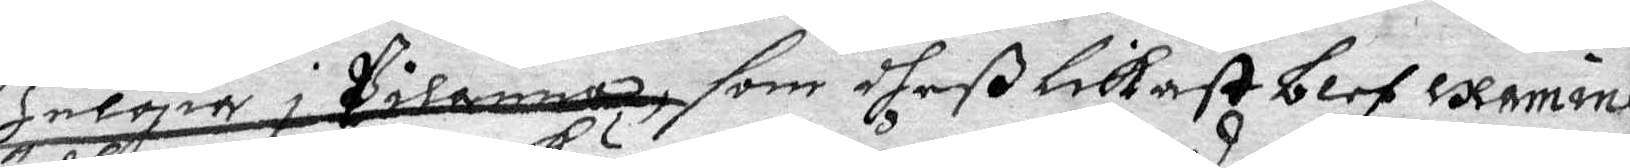som dheßlika blef excamine¬
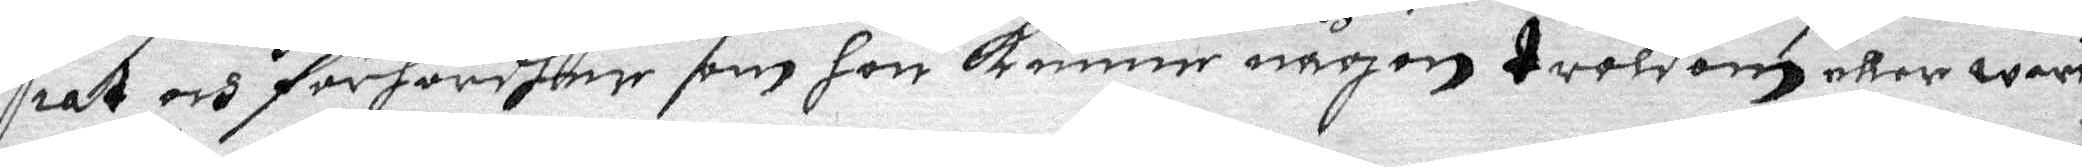rat och förhördher som hon kunner någon troldom eller warit
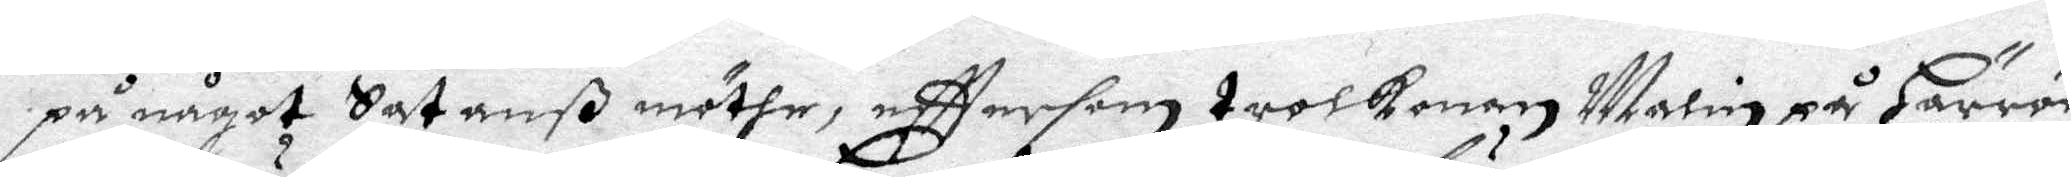på något Sathanß möthe, efttersom trolkonan Malin på Härrön
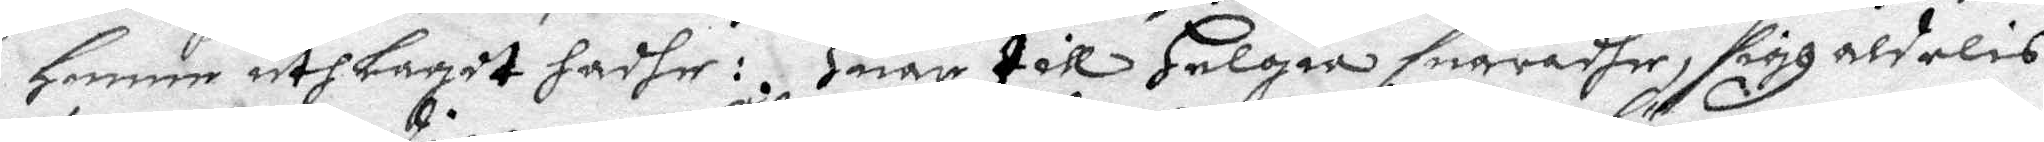henne uthlagit hadhe: Huar till Helgia suaradhe, sigh aldelis
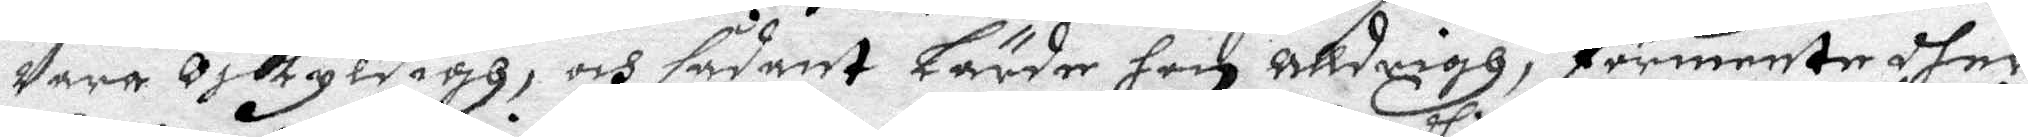Vara oskyldigh, och sådant lärde hon alldrigh, förmente dher
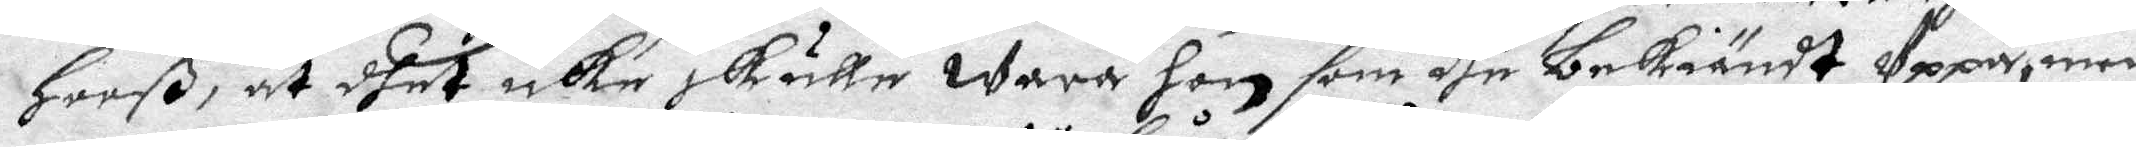Hooß, at dhet icke skulle wara hon som dhe bekiändt Uppå, men
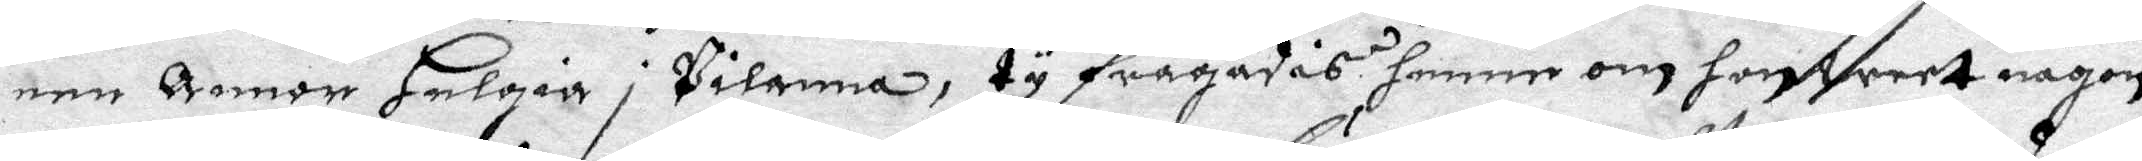een Annor Helgia i Pilanna, ty frågades henne om hon weet någon
